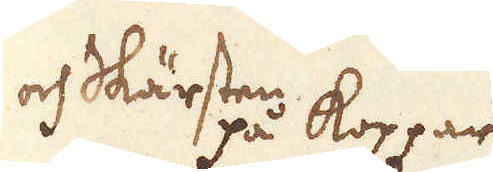och Skärsten på koppar
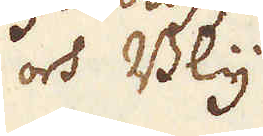och Bly
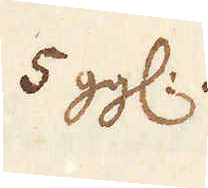5 gg:
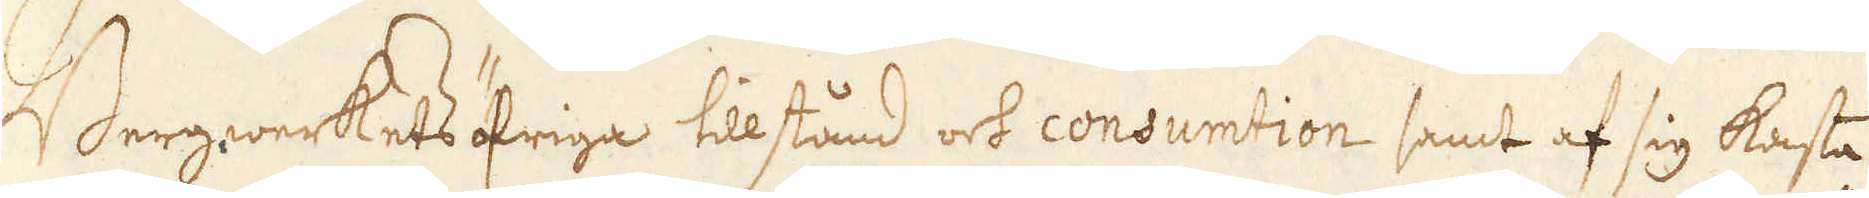Bergwerkets öfriga tillstånd och consumtion samt af sig kasta
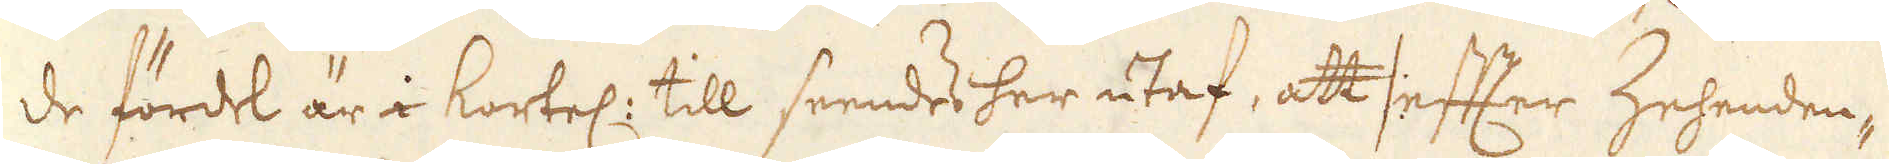de fördel är i kortel: till seendes her utaf, att /: efter Zehenden-
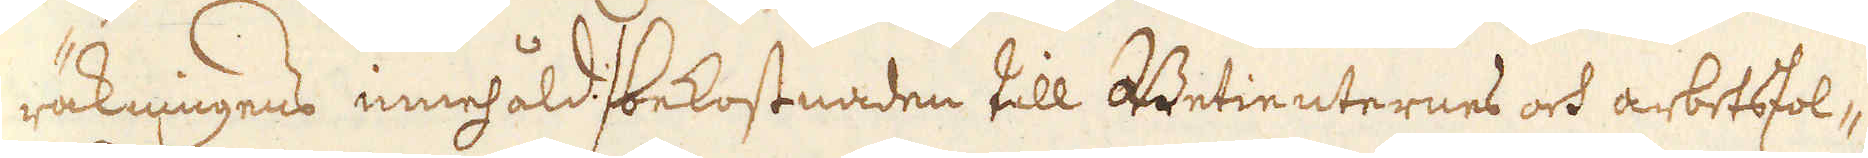räkningens innehåld :/ bekostnaden till Betienternes och arbetsfol-
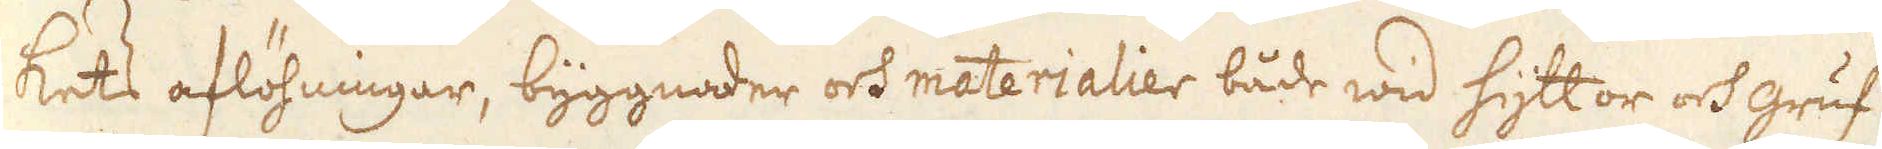kets aflöhningar, byggnader och materialier både wid hyttor och gruf-
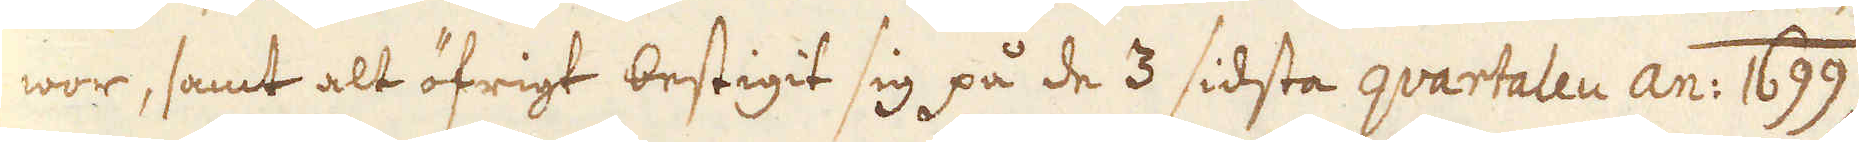wor, samt alt öfrigt bestigit sig på de 3 sidsta quartalen an: 1699
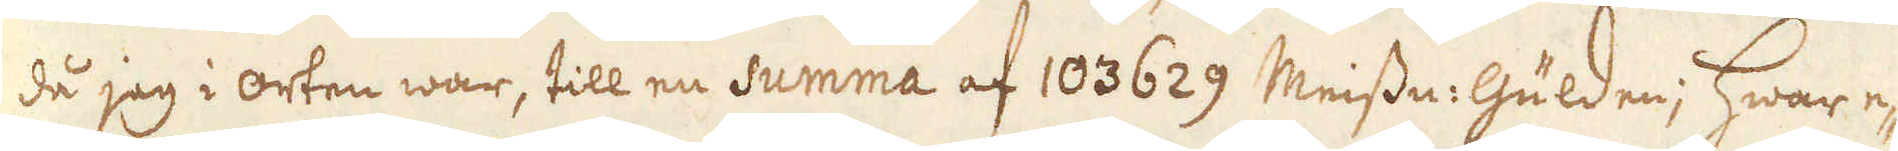då jag i orten war, till en summa af 103629 Meissn: Gulden; hwar e-
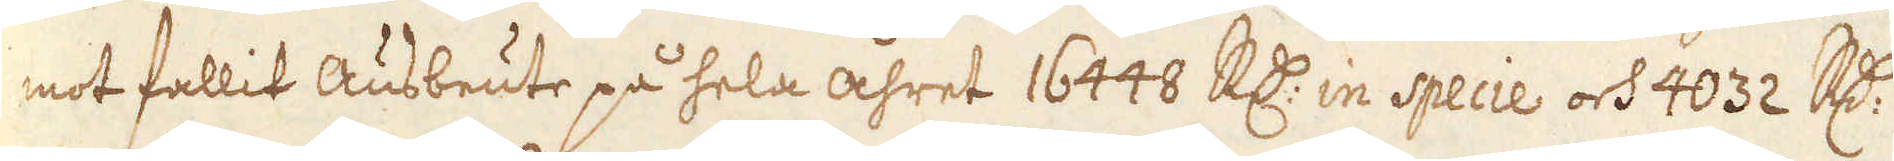mot fallit Ausbeute på hela åhret 16448 R:dr in specie och 4032 R:dr
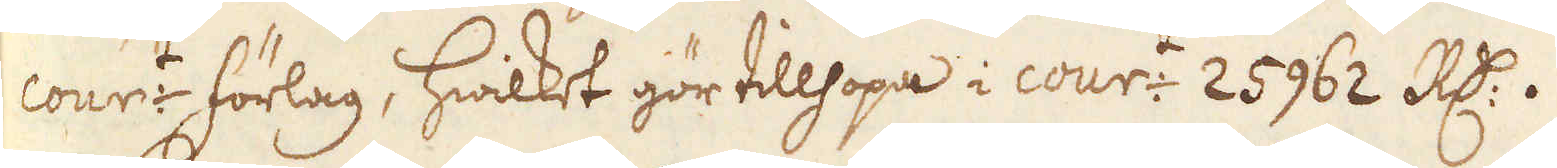cour:t förlag, hwilket gör tillhopa i cour:t 25962 R:dr.
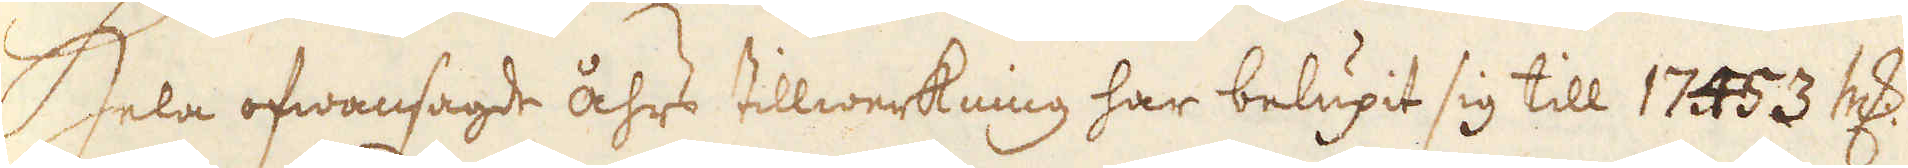Hela ofwansagde åhrs tillwerkning har belupit sig till 17453 marker
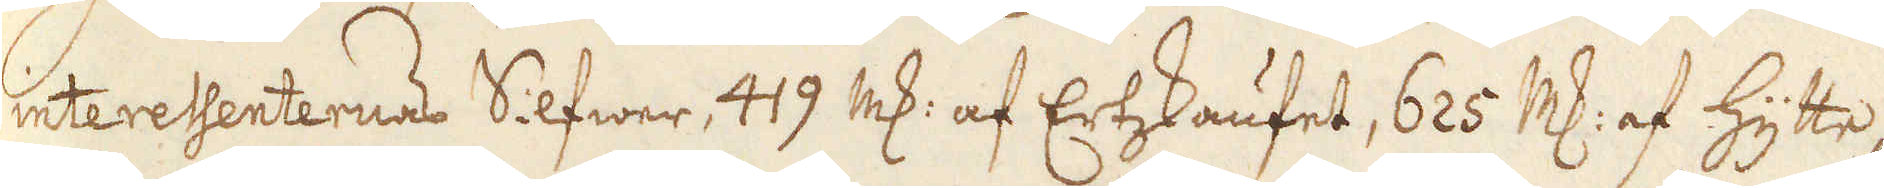interessenternas Silfwer, 419 marker af Ertzskaufet, 625 marker af hytte-
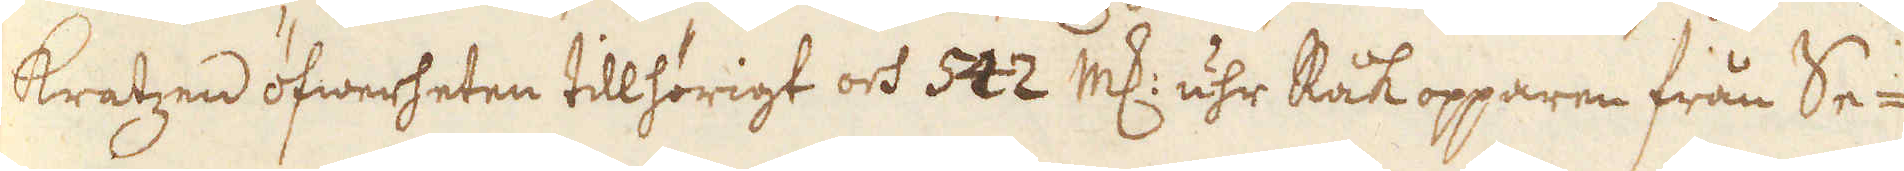kratzen öfwerheten tillhörigt och 542 marker uhr Råkopparen från Se-
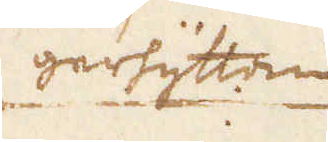gerhyttan
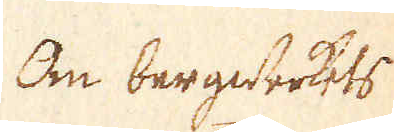Om bergwerkets
